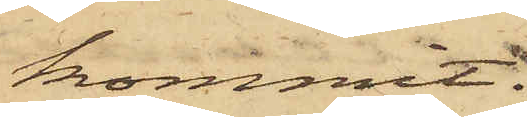kommit.
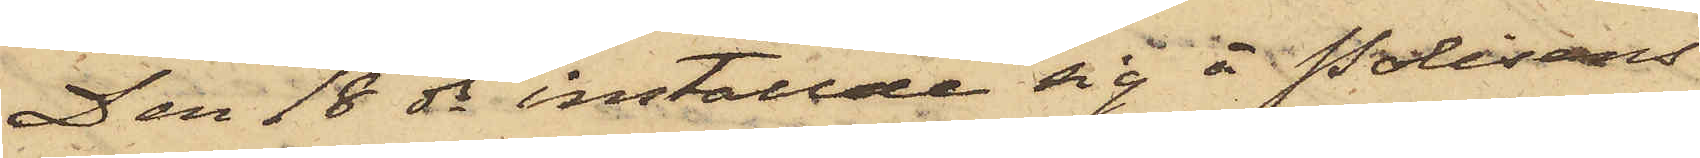Den 18 ds inställde sig å Polisens
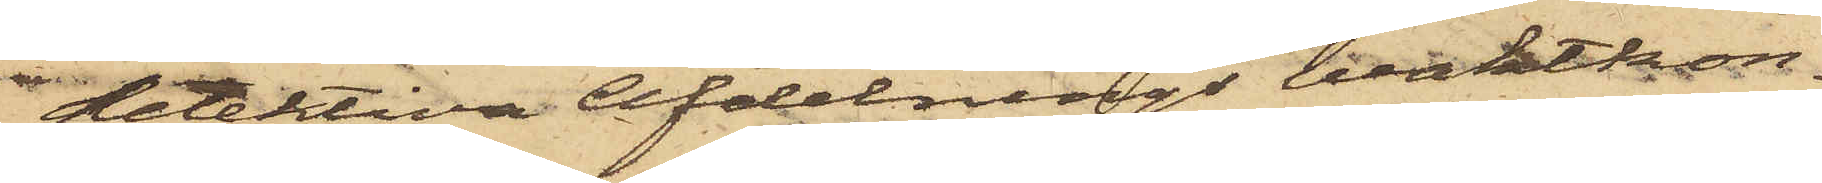Detektiva Afdelnings waktkon¬
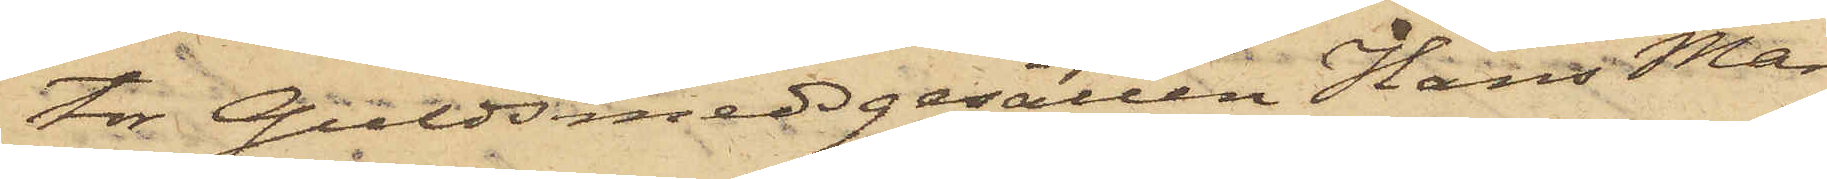tor Guldsmedsgesällen Hans Mar¬
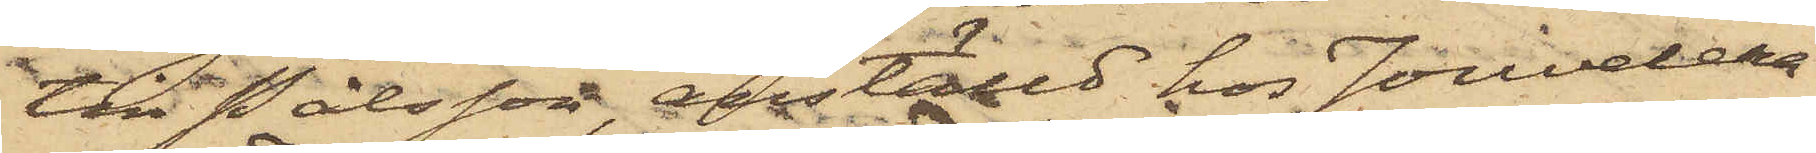tin Pålsson, anställd hos Jouvelera¬
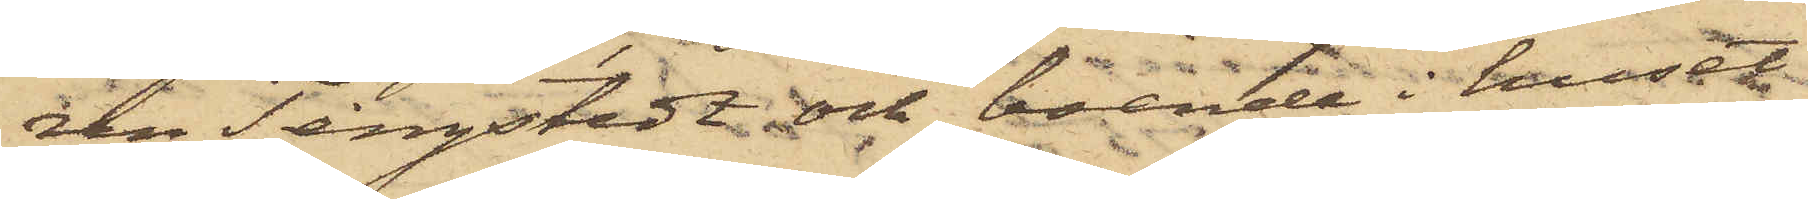ren Tengstedt och boende i huset
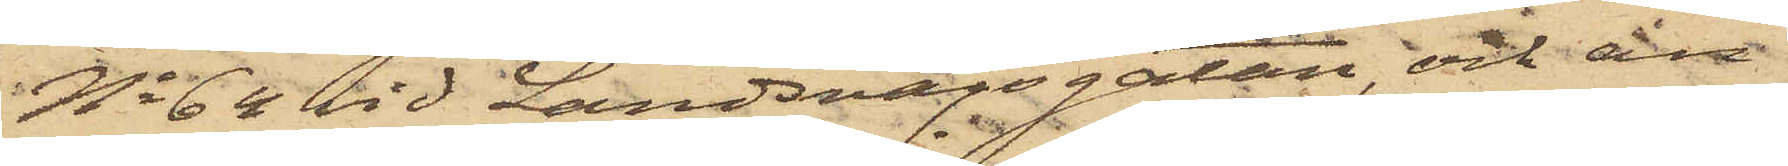No 64 vid Landsvägsgatan, och an¬
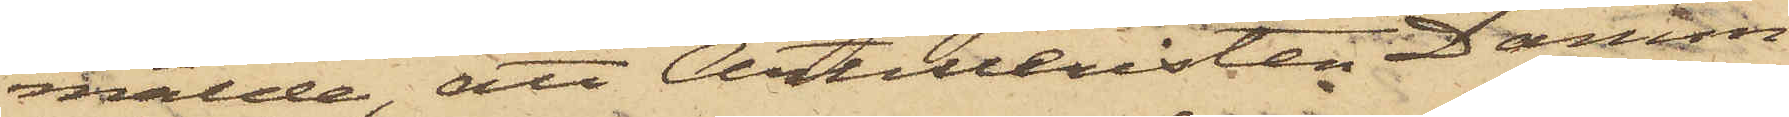mälde, att Artilleristen Damm
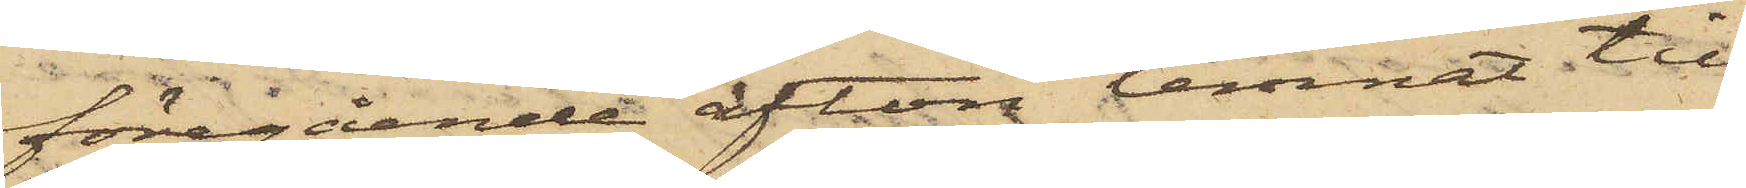föregående afton lemnat till
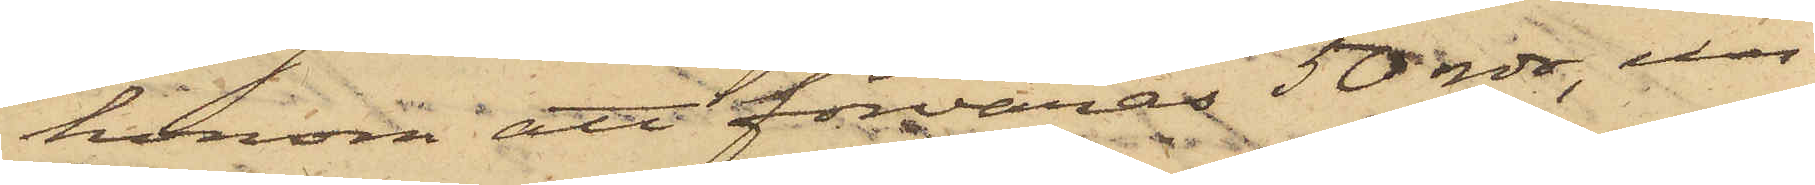honom att förvaras 50 rdr, un¬
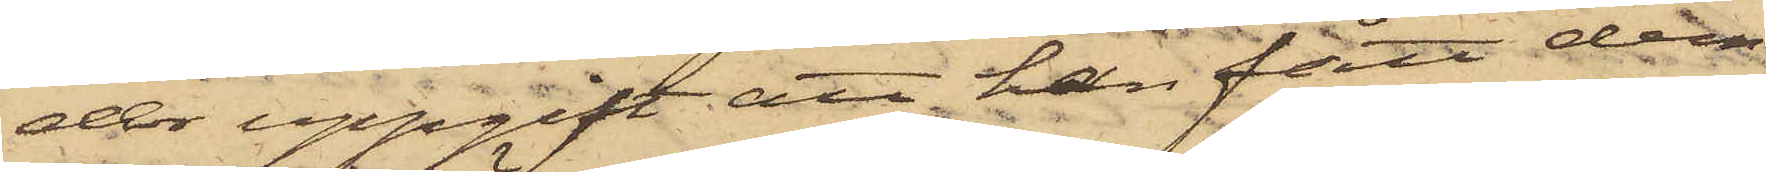der uppgift att han fått dem
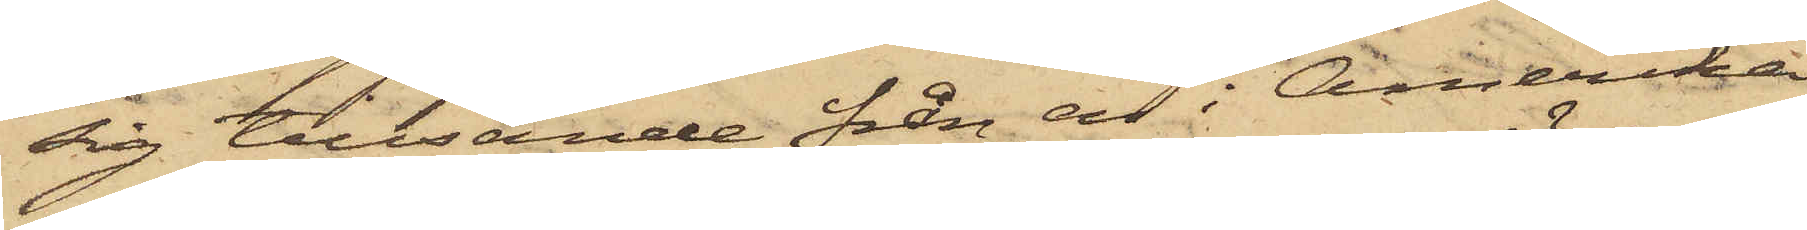sig tillsände från en i Amerika
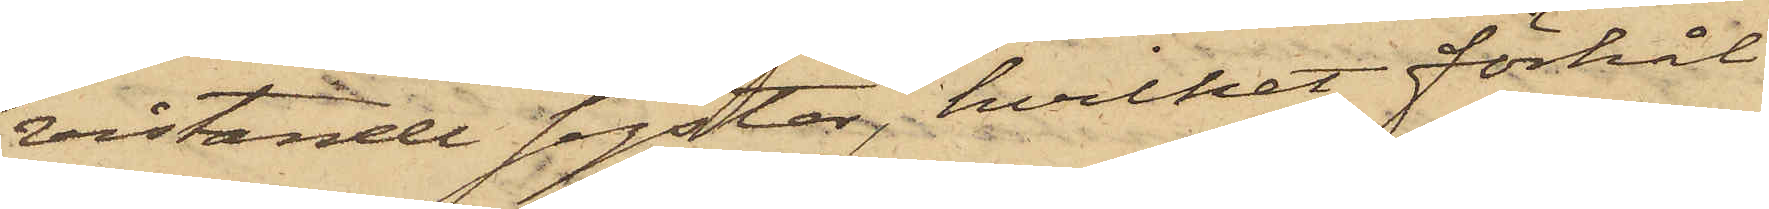vistande syster, hvilket förhål¬
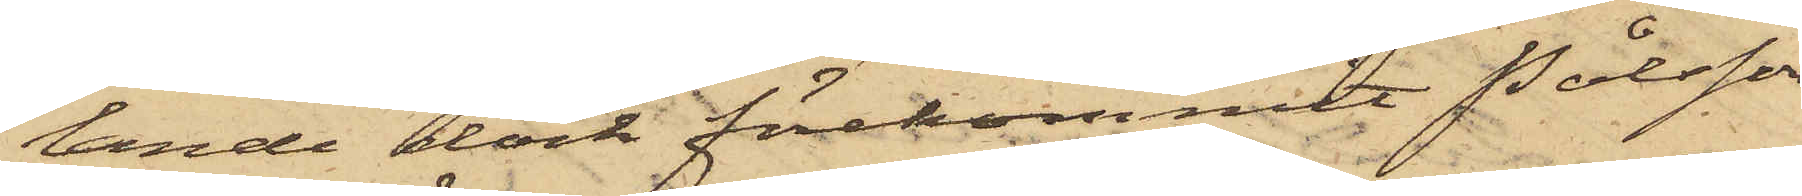ande dock förekommit Pålsson
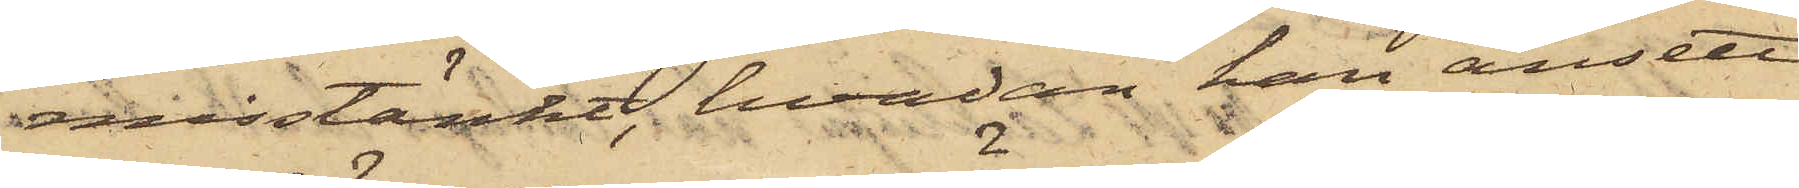misstänkt, hvadan han ansett
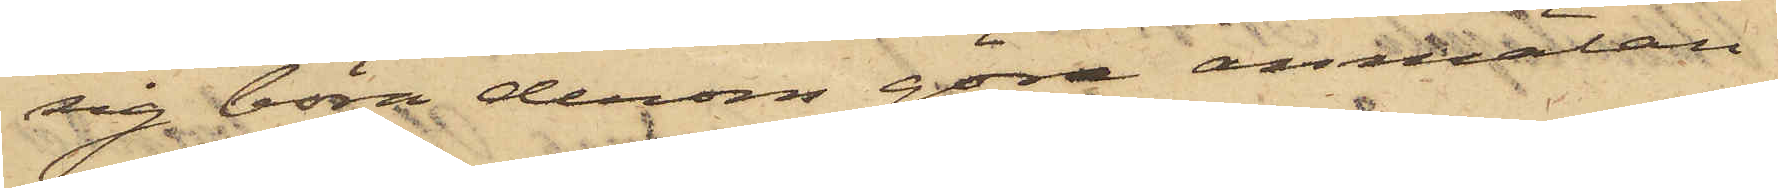sig böra derom göra anmälan.
